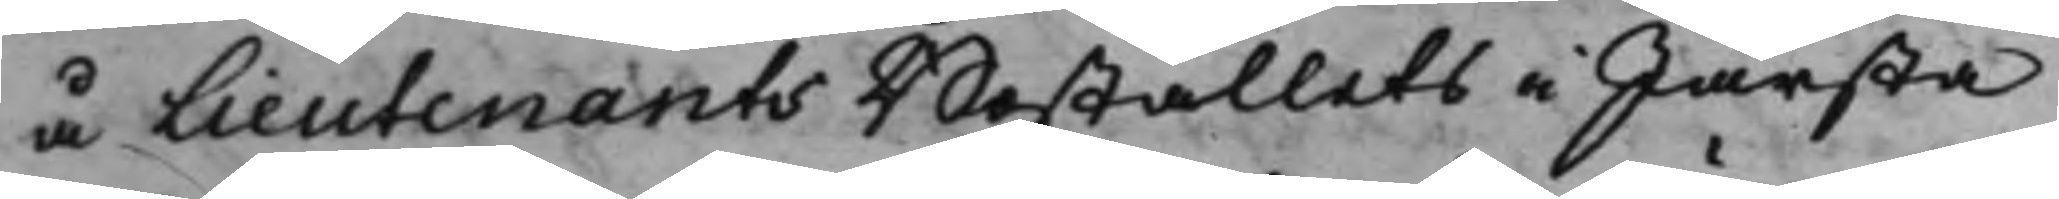å LieutenantsBoställets i Järsta
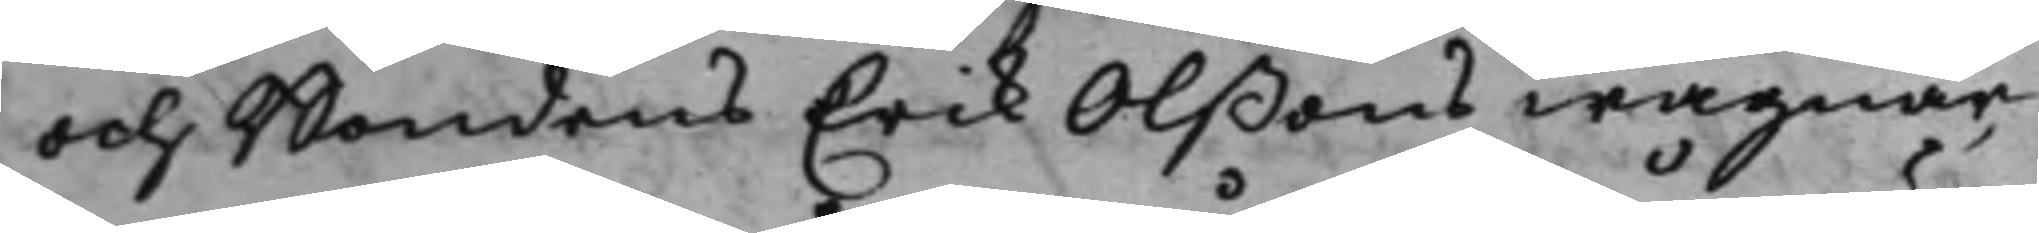och Bondens Erik Olßons wägnar,
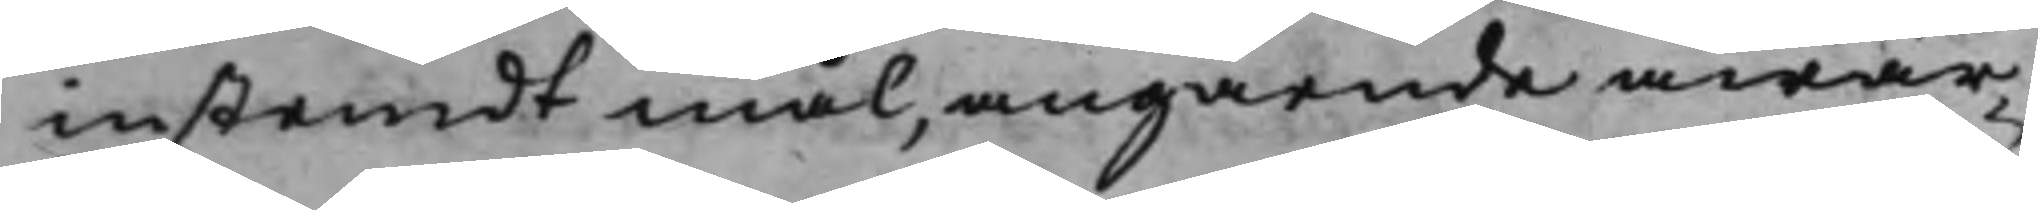instemdt mål, angående åwär¬
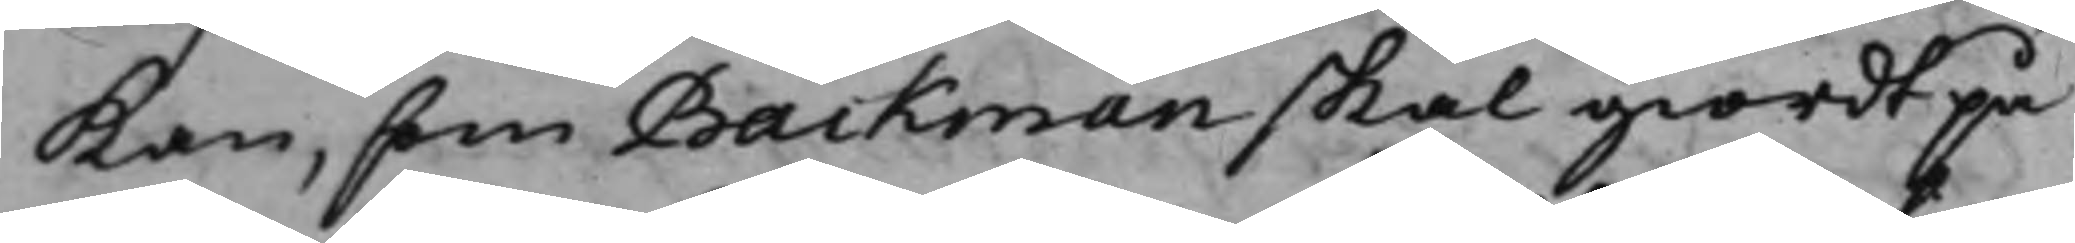kan, som Backman skal giordt på
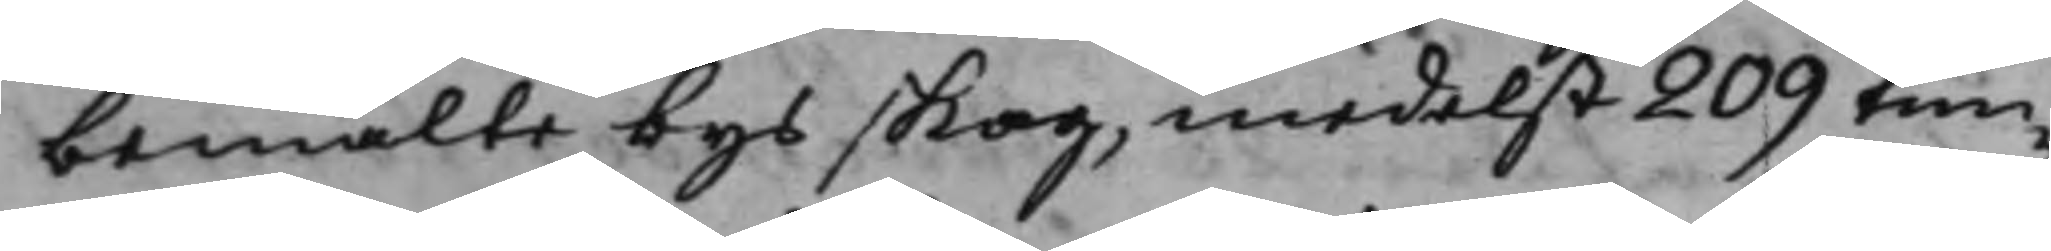bemälte bys skog, medelst 209 tim¬
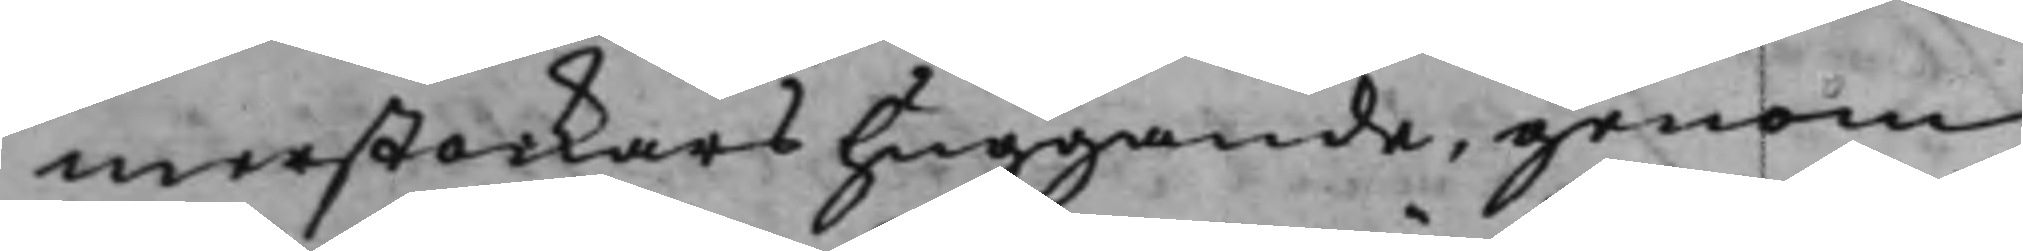merstockars huggande, genom
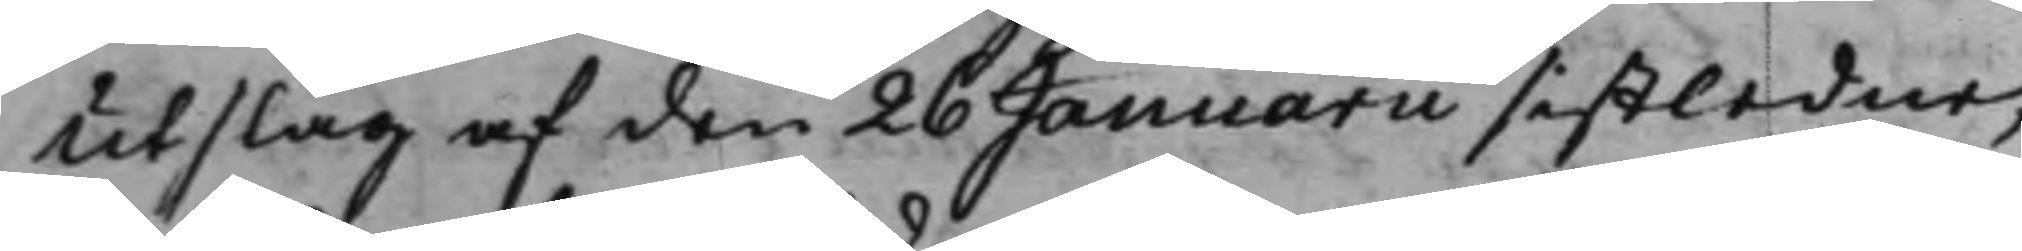Utslag af den 26 Januarii sistledne,
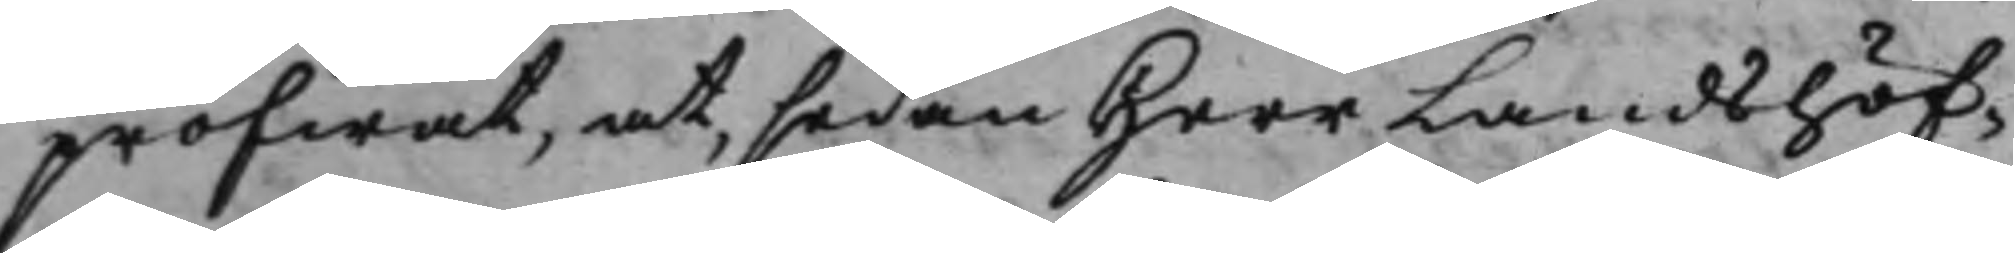pröfwat, at, sedan Herr Landshöf¬
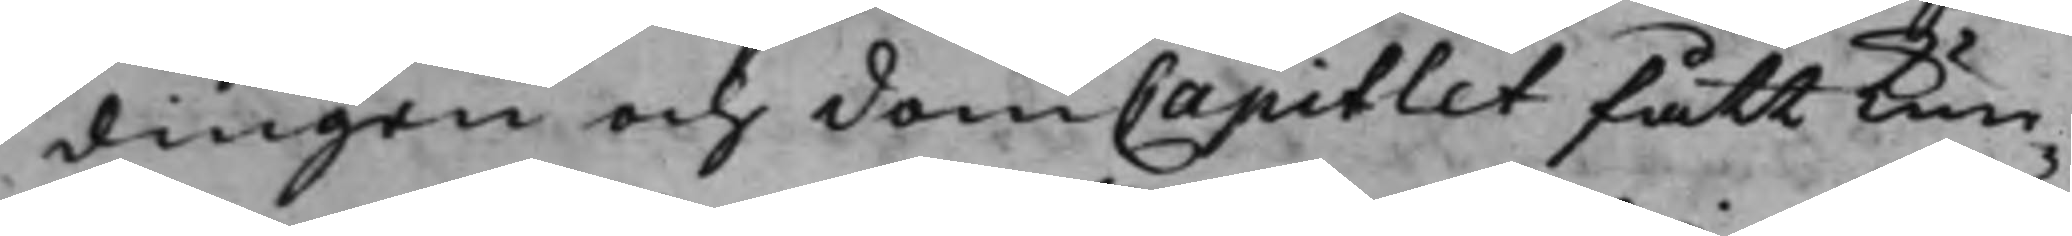dingen och domCapitlet fått kun¬
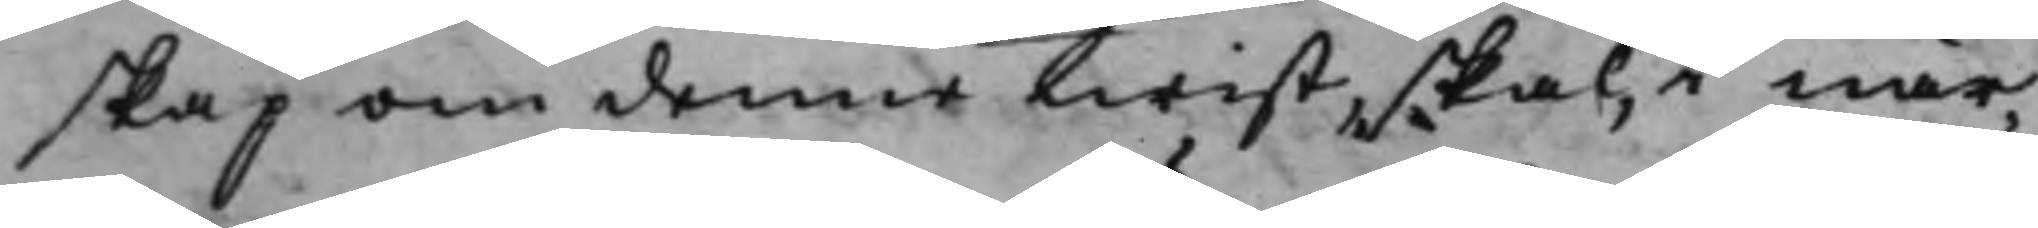skap om denne twist, skal, i när¬
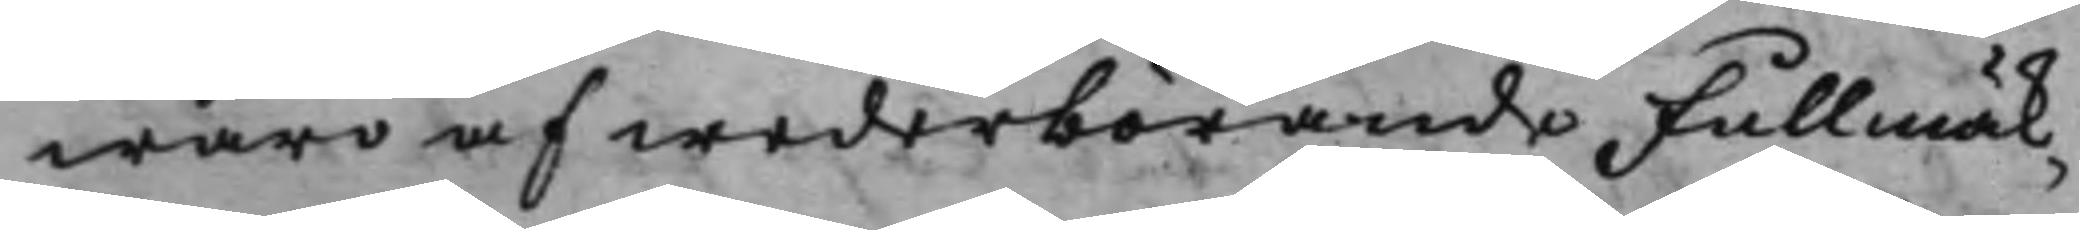waro af wederbörande Fullmäk¬
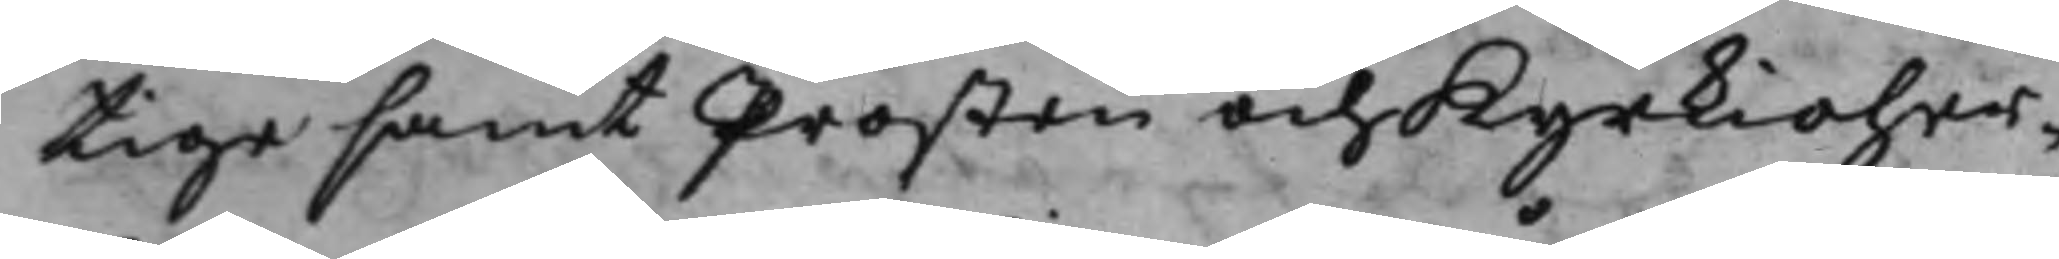tige samt Prosten och Kyrkioher¬
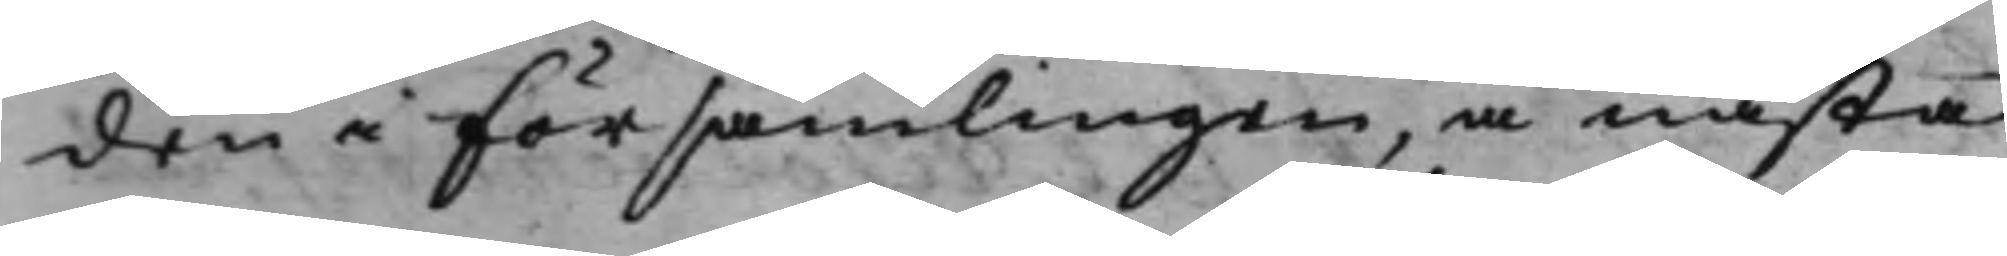den i Församlingen, å nästa
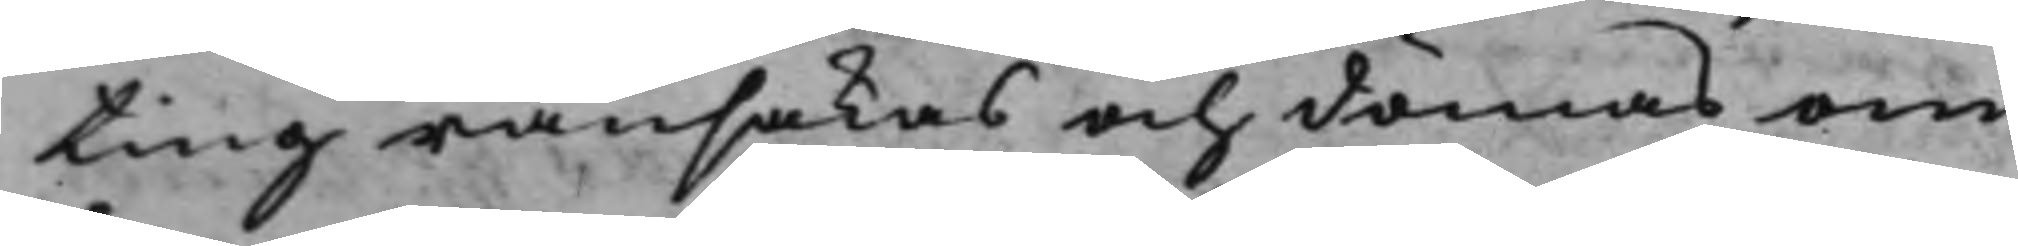ting ransakas och dömas om
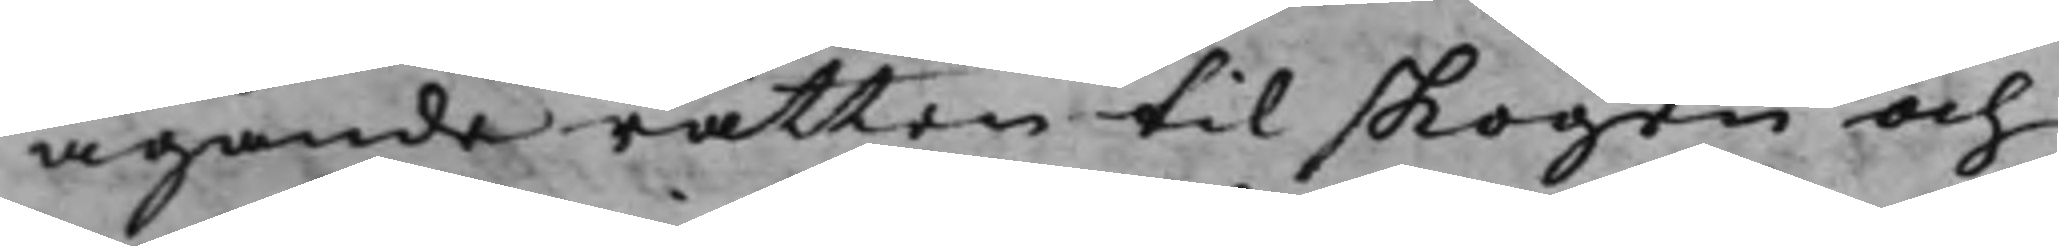äganderätten til skogen och
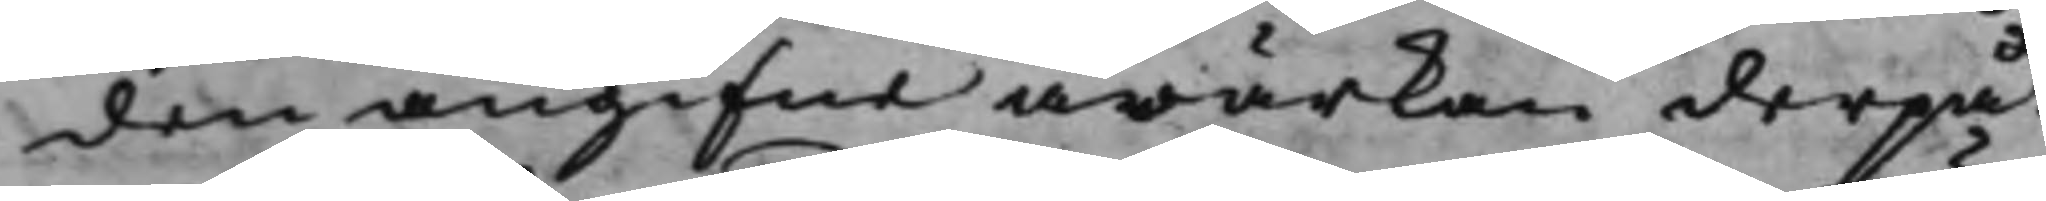den angifne åwärkan derpå.
